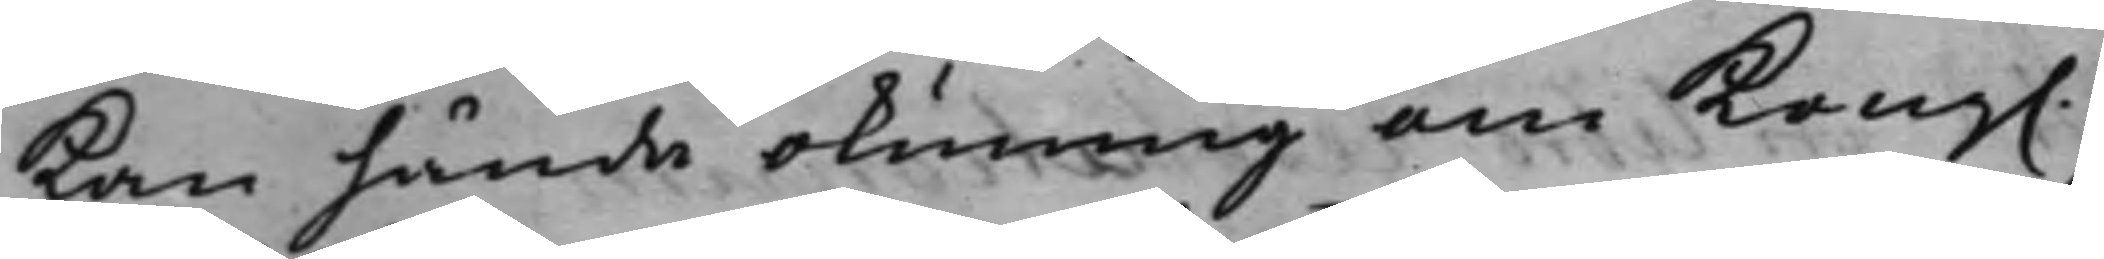kan hända okunnig om Kong.
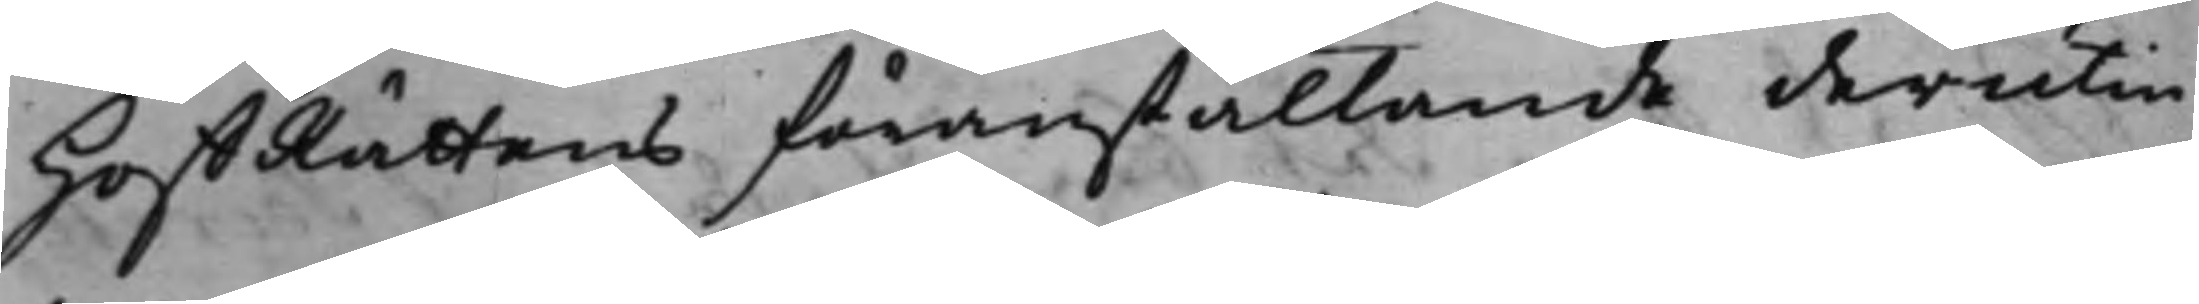HoffRättens föranstaltande derutin¬
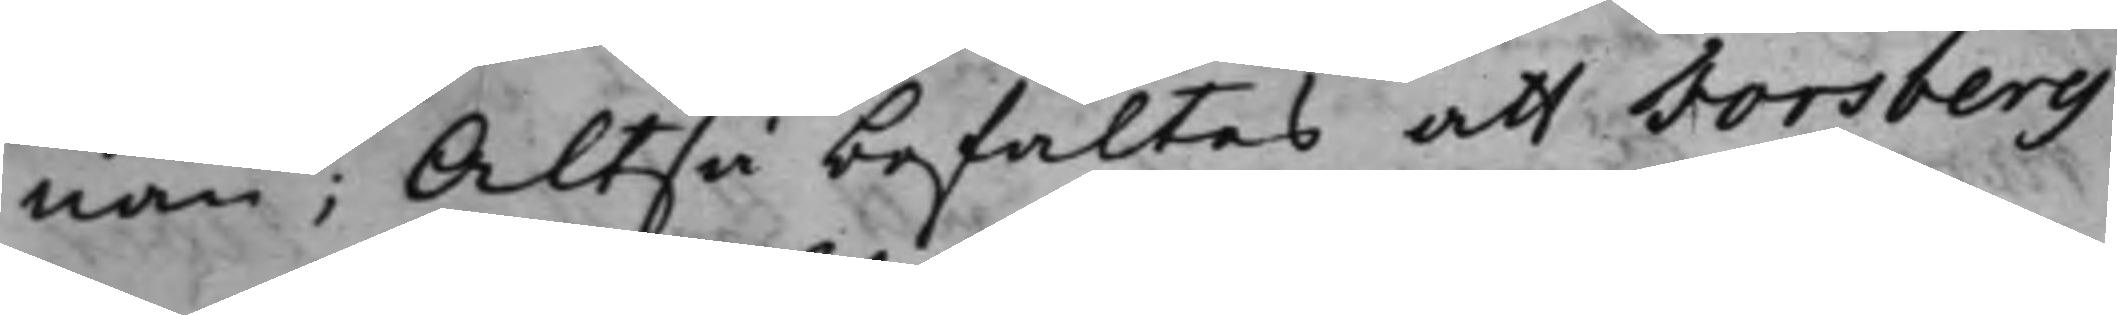nan; Altså befaltes att Torsberg
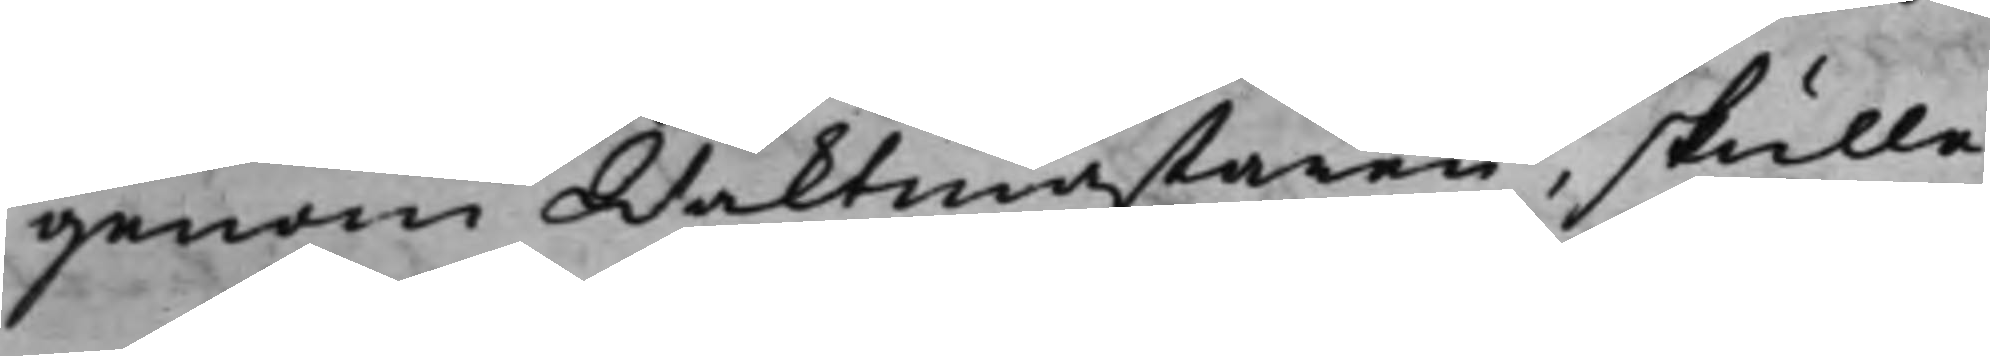genom Waktmästaren, skulle
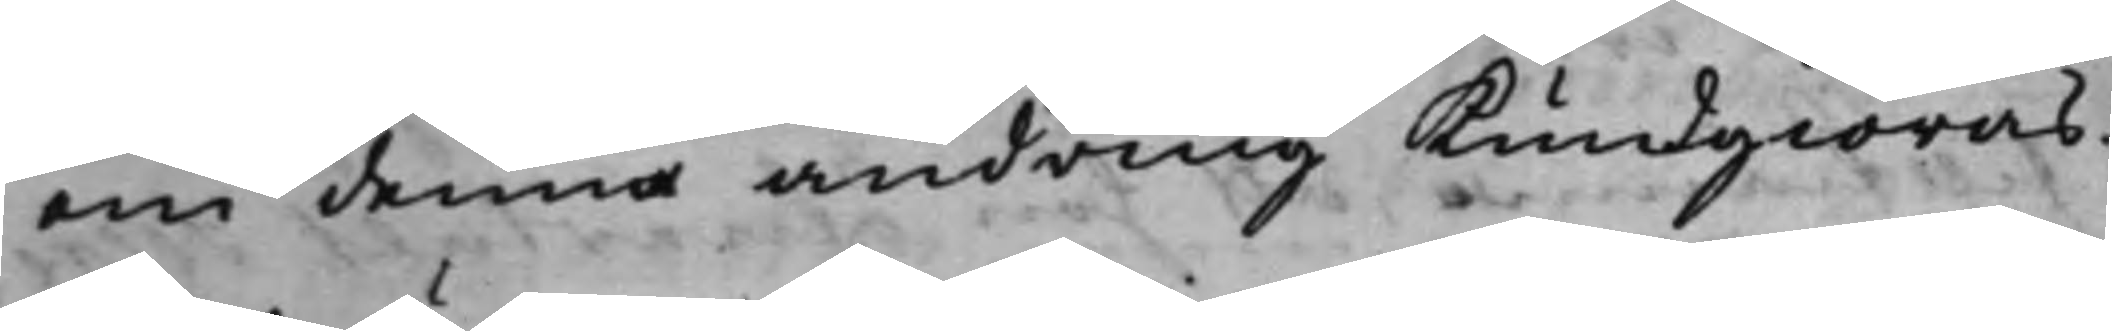om denna ändring Kundgiöras.
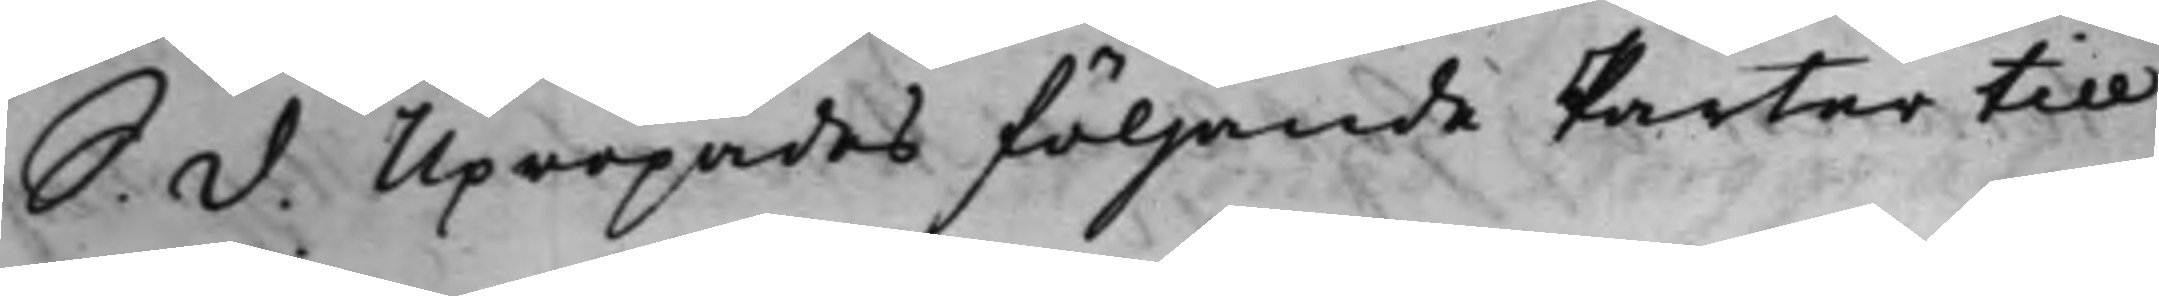S. d. Upropades följande Parter till
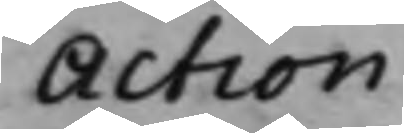Action
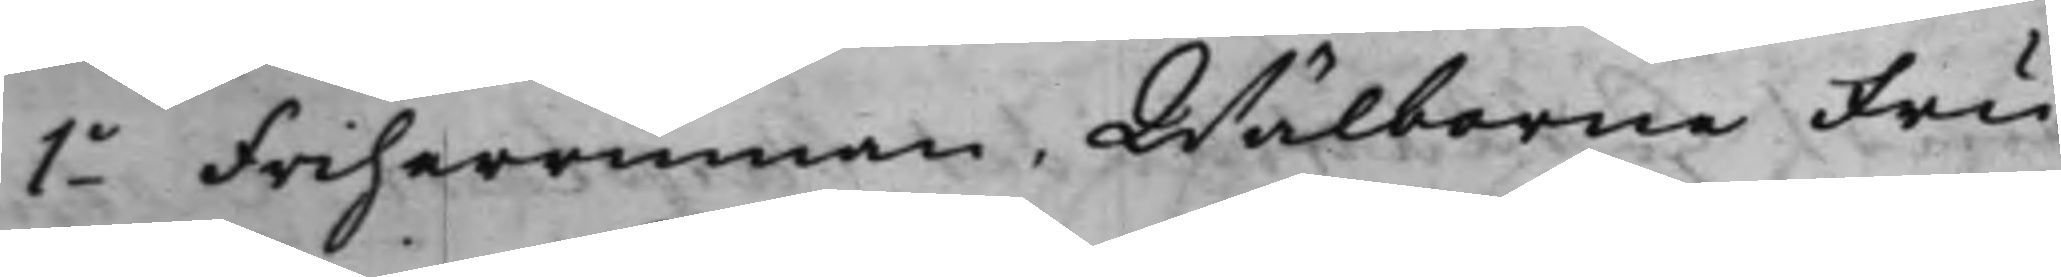1o Friherrinnan Wälborne Fru
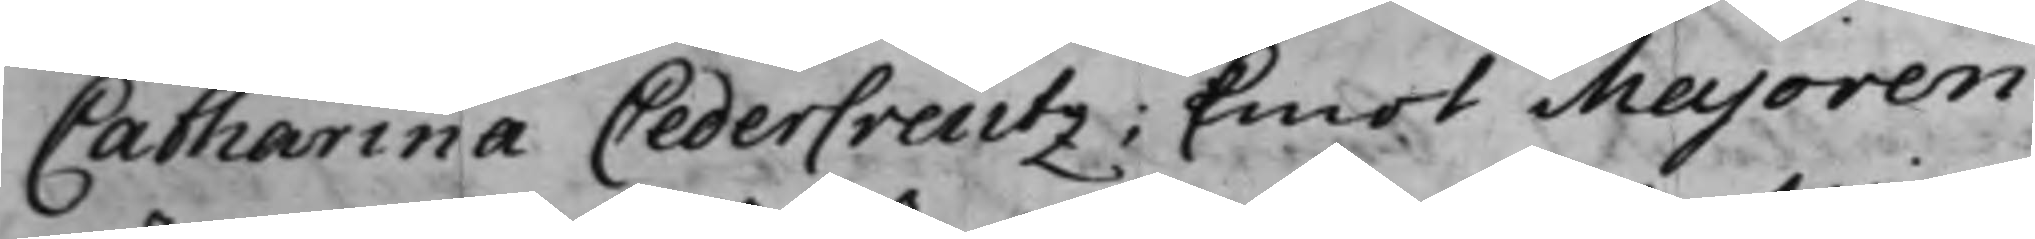Catharina Cedercreutz; Emot Majoren
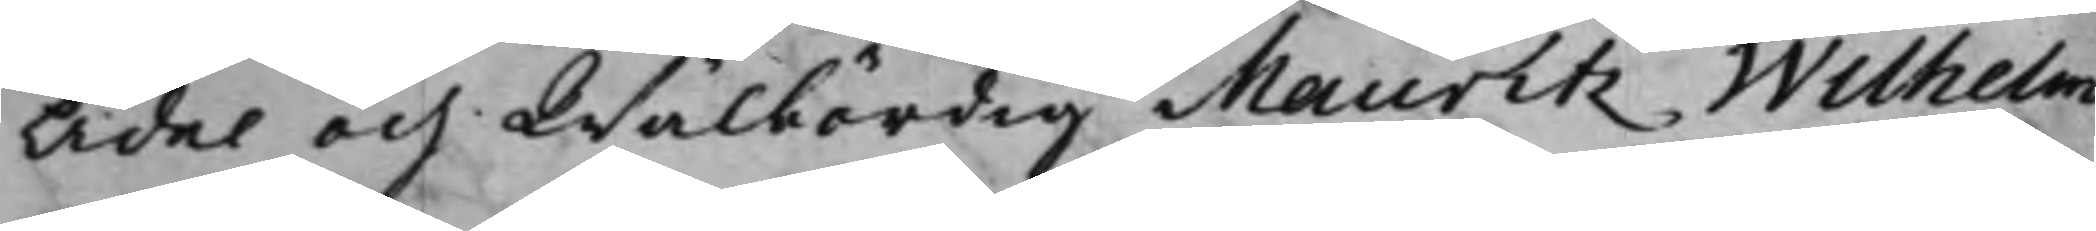Ädel och Wälbördig Mauritz Wilhelm
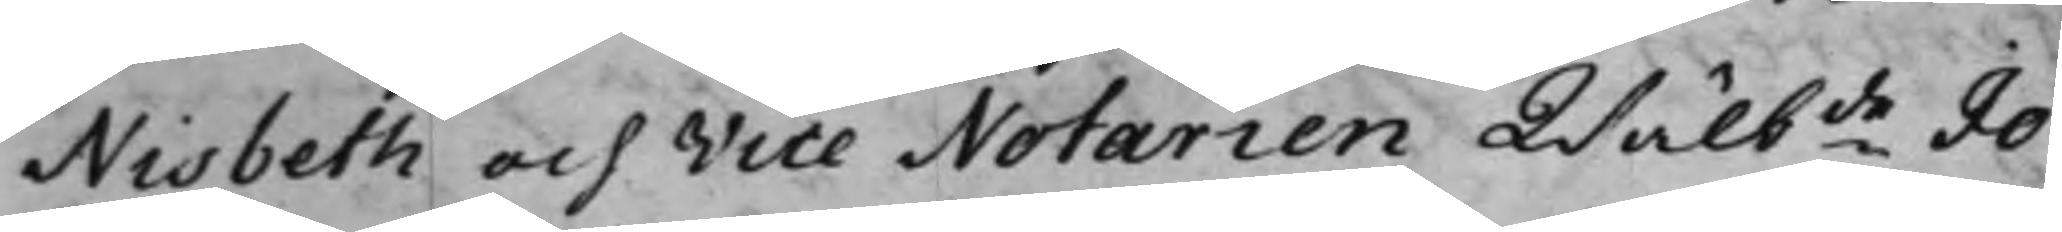Nisbeth och Vice Notarien Wälbde Jo¬
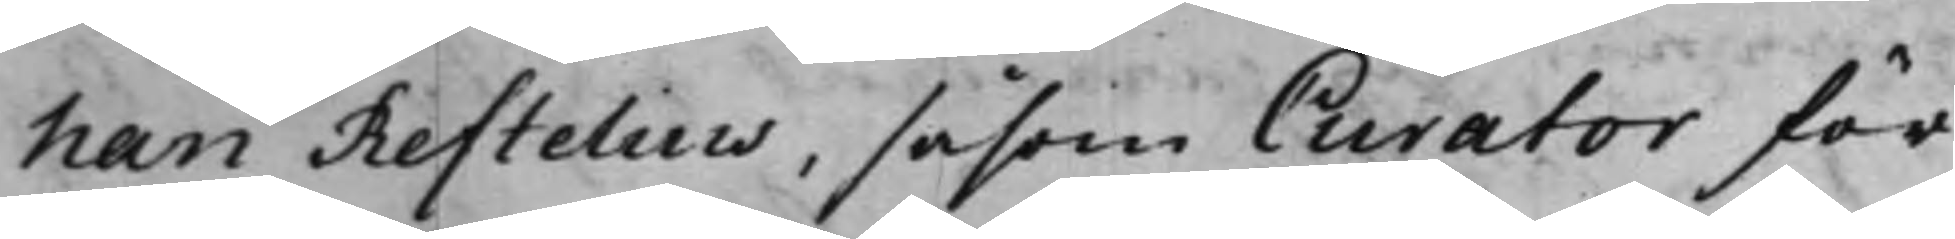han Reftelius, såsom Curator för
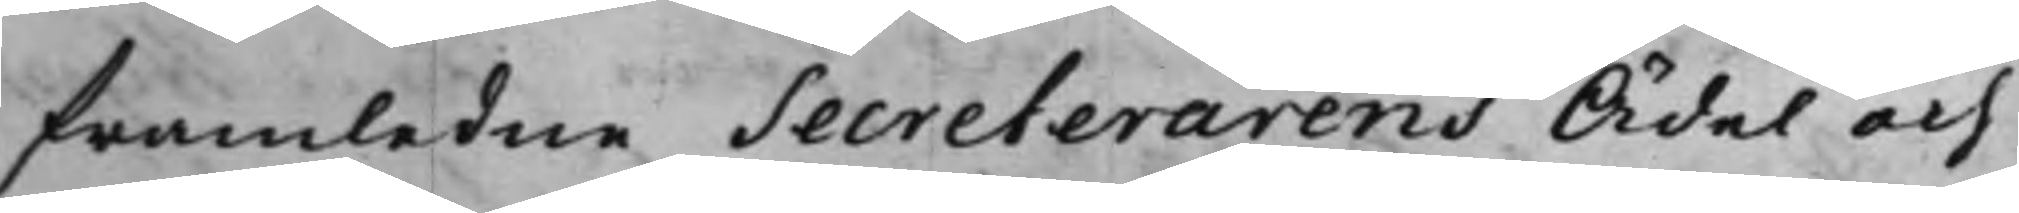framledne Secreterarens Ädel och
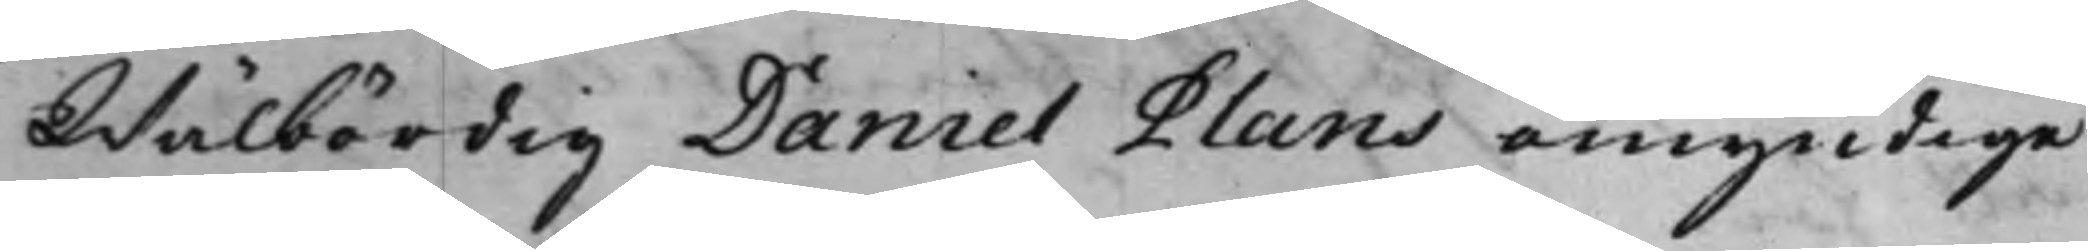Wälbördig Daniel Plans omyndige
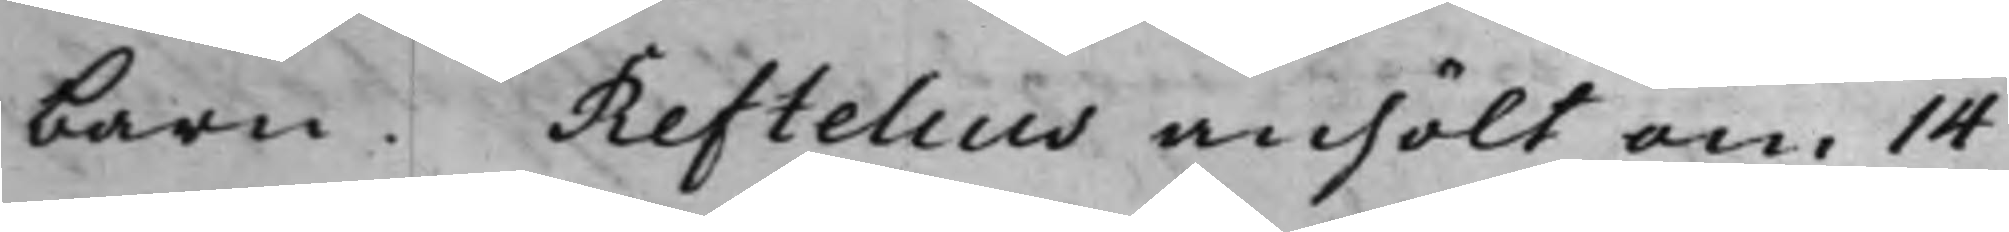barn. Reftelius anhölt om 14
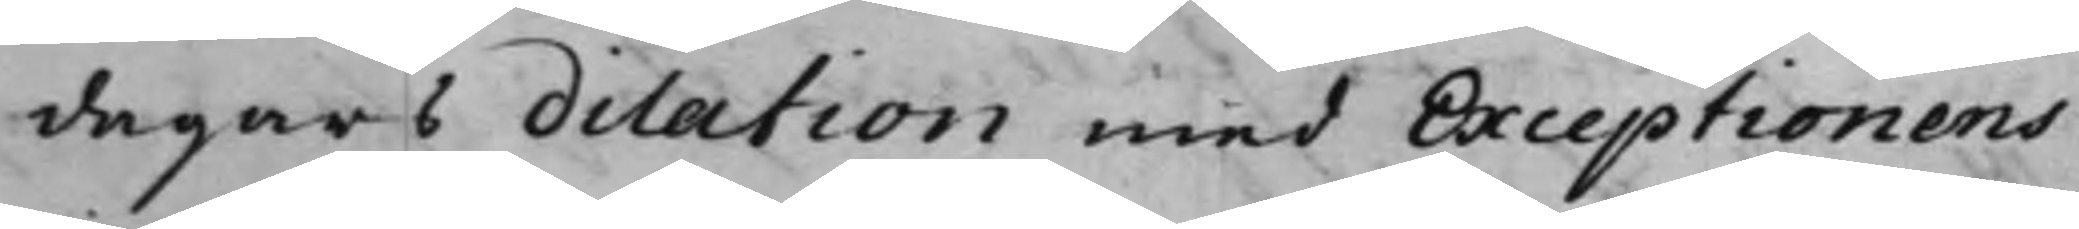dagars dilation med Exceptionens
